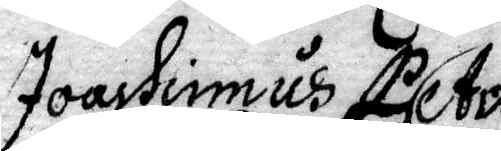Joachimus Petri
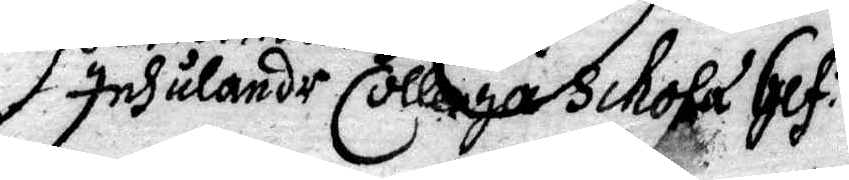Inhulande Colleiga Schola Gef: 
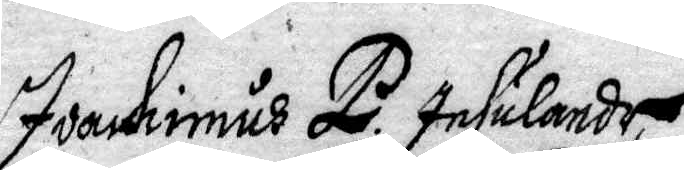Joachimus P Insulander
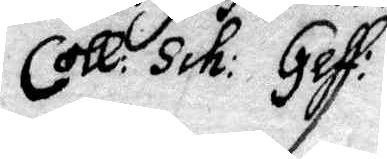Coll: Sch: Gefl:
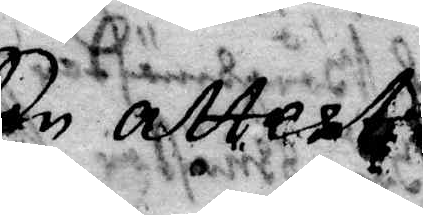Een attest
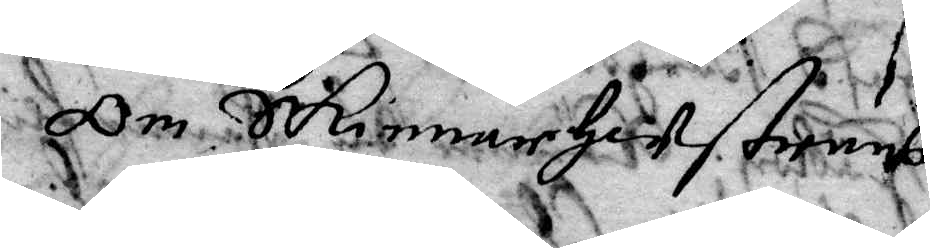Om Skinnarhustrus
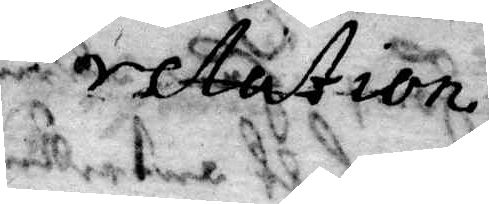relation.
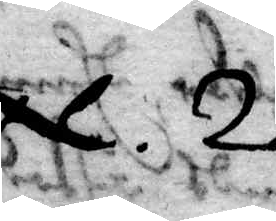N. 2.
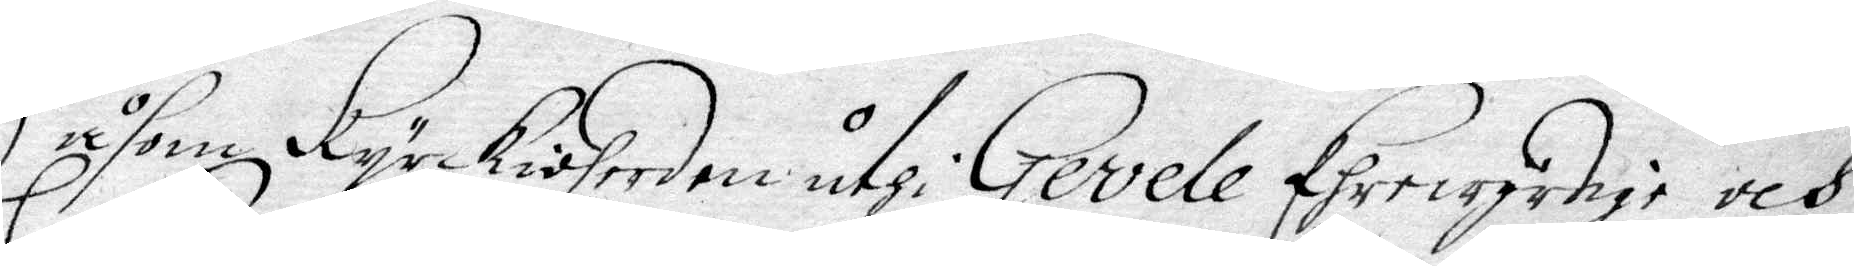Såsom kyrkioherden uthi Gevele Ehrewyrdige och
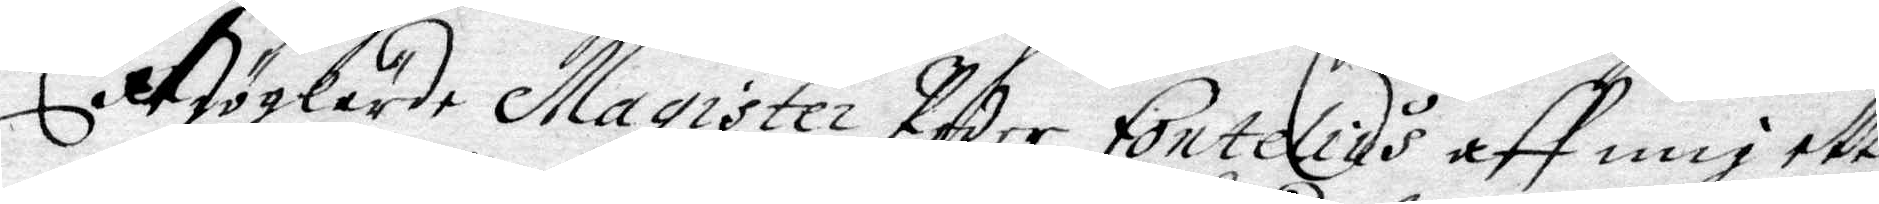Höglärde Magister Peder Fontelius aff mig ett
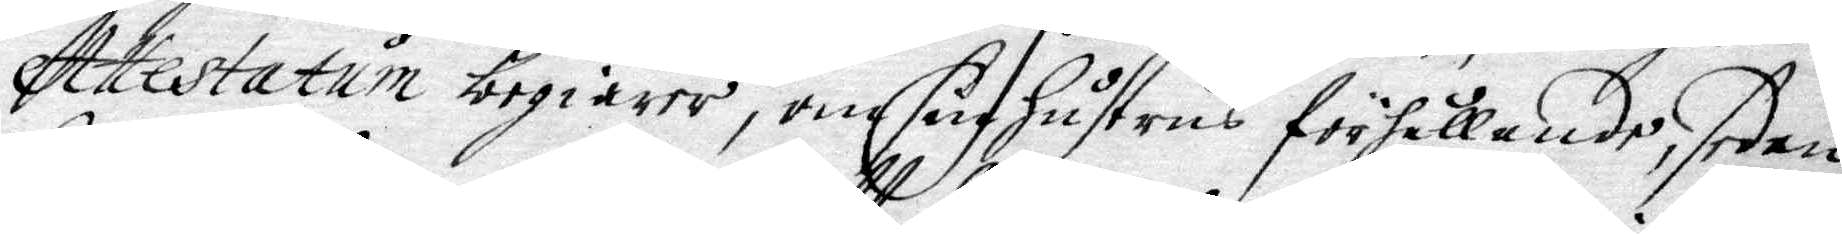Attestatum begiärer, om sin Hustus förhållande, sedan
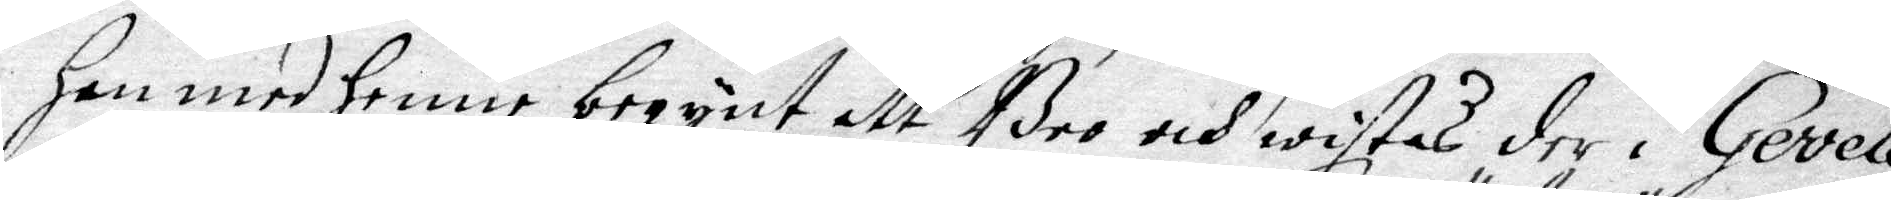Han med Henne begynt att Boo och wistas der i Gevele;
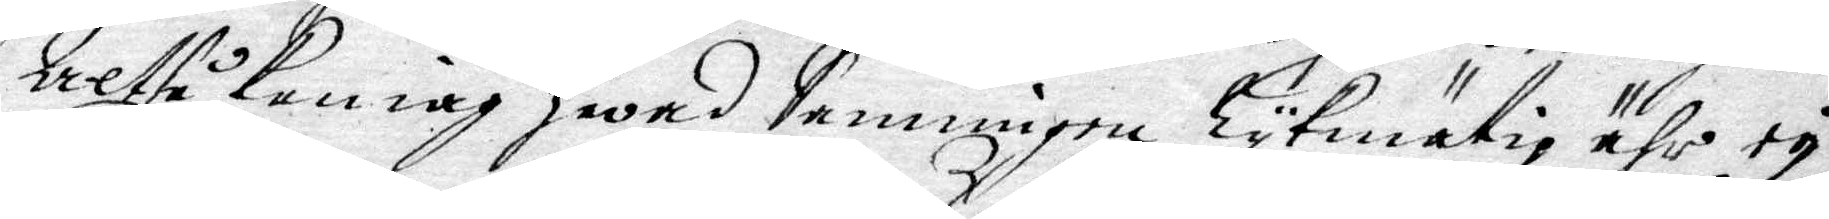Altså kan iag Hwad Sanningen Lykmätig ähr ey
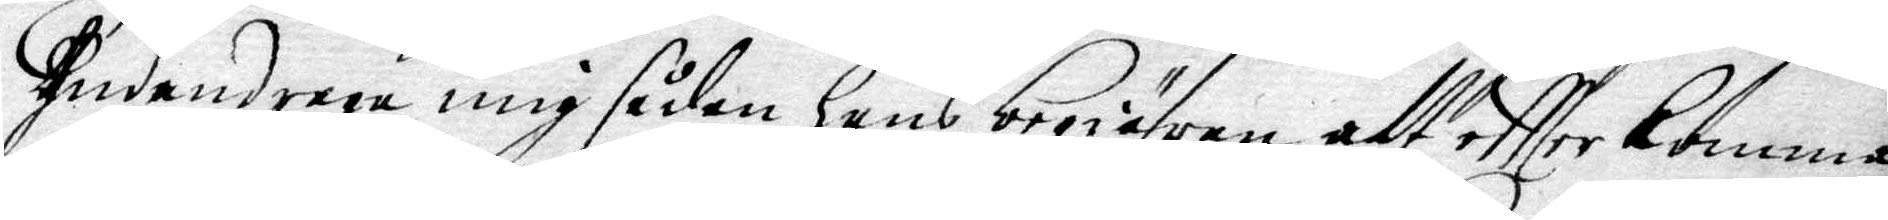undandraga mig sådan Hans begiäran att eftter komma;
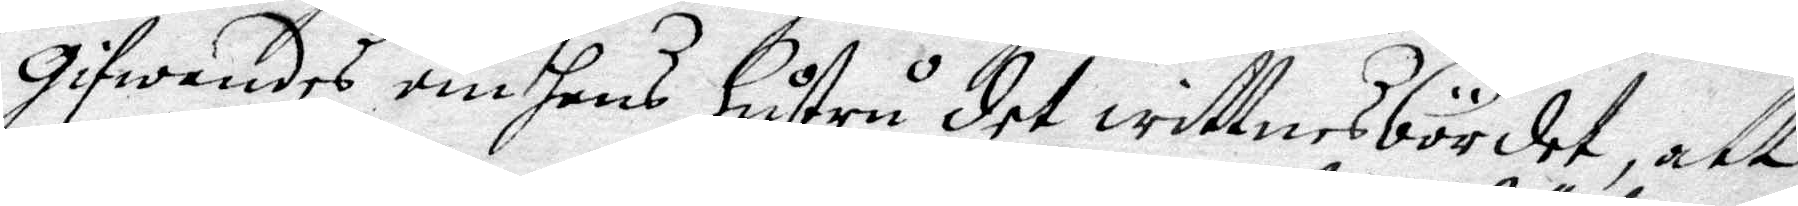gifwandes om hans Hustu det wittnesbördet, att
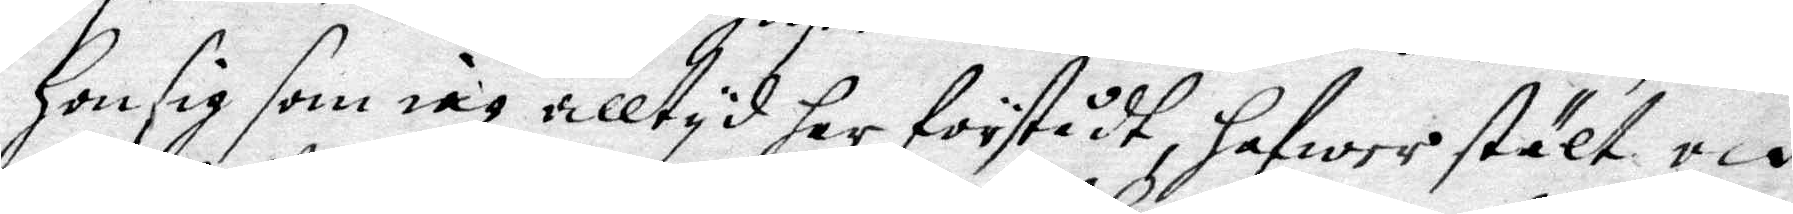Hon sig som iag alltyd har förstådt, Hafwer stält och
